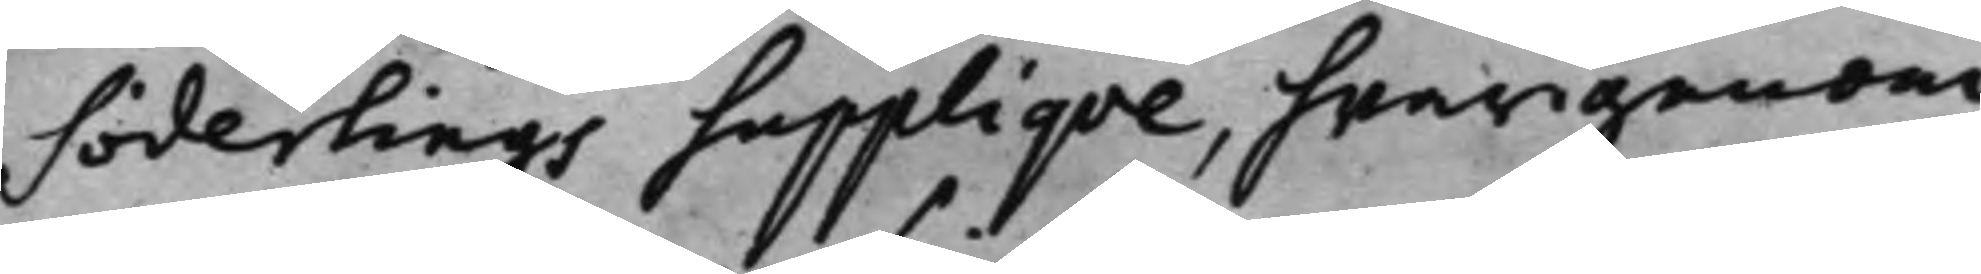Söderlings Supplique, hwarigenom
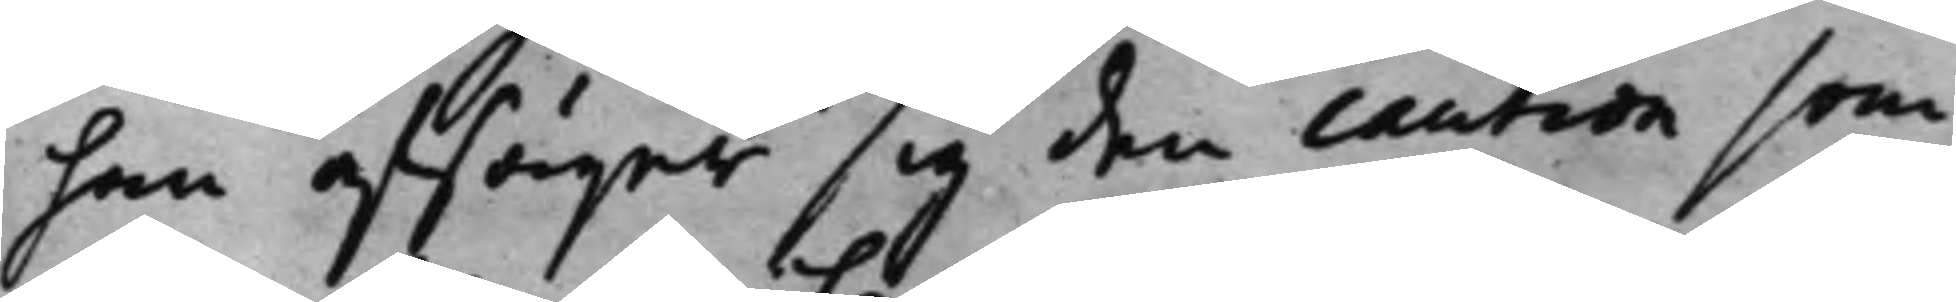han afsäger sig den caution som
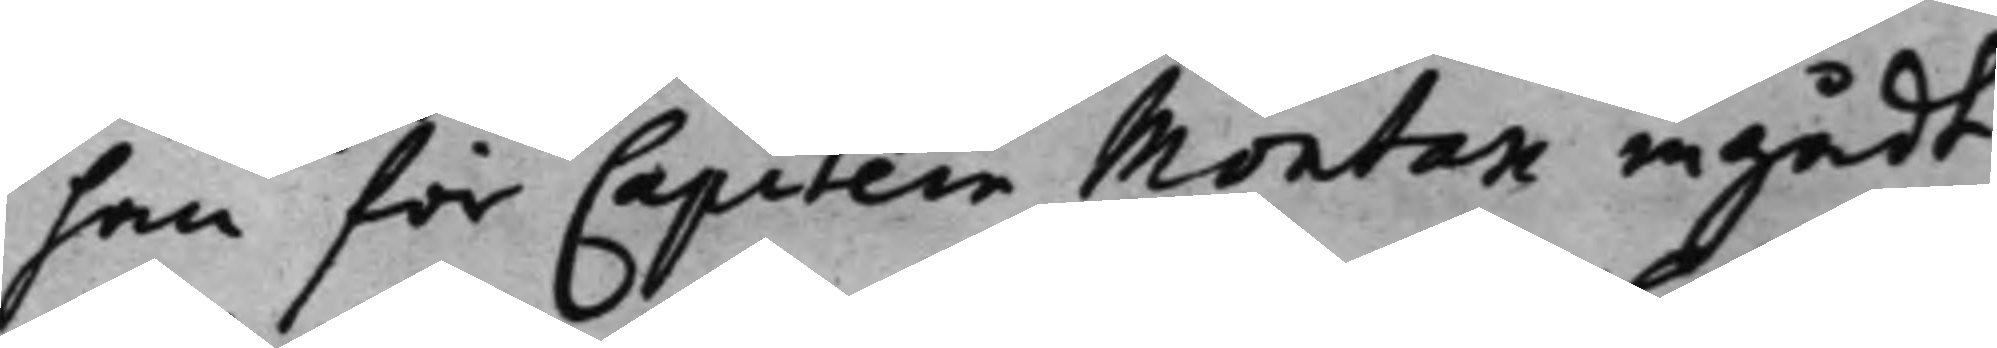han för Capitein Montan ingådt.
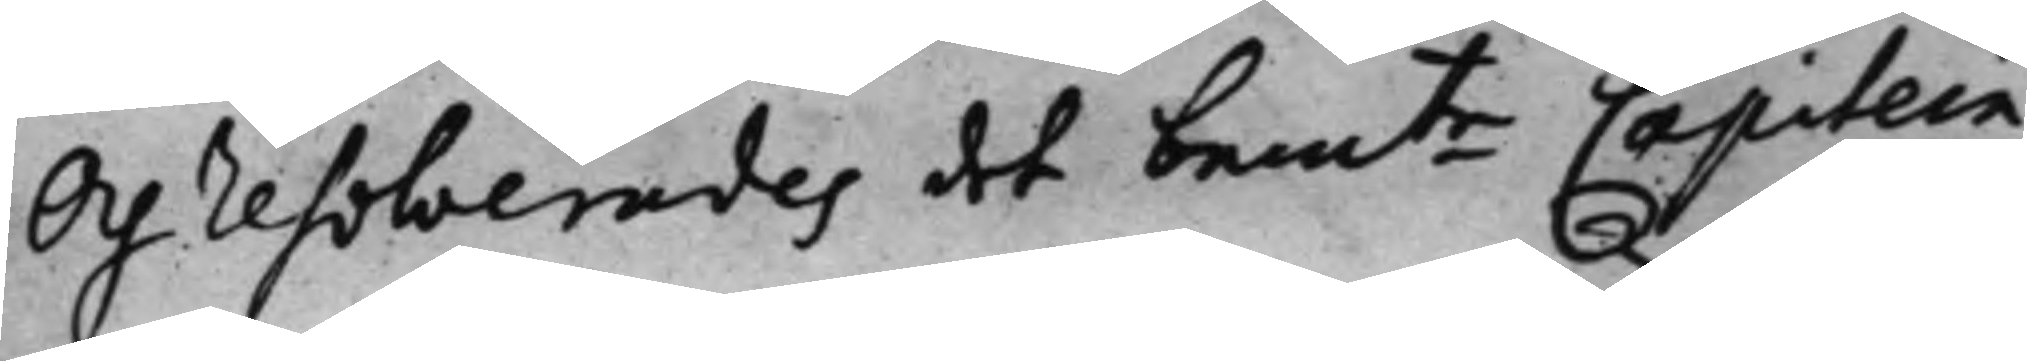Och resolverades det bemte Capitein
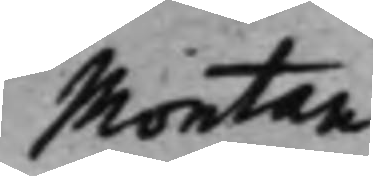Montan
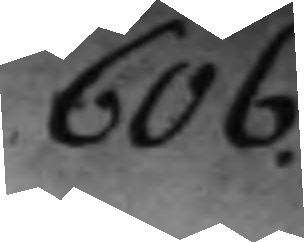606.
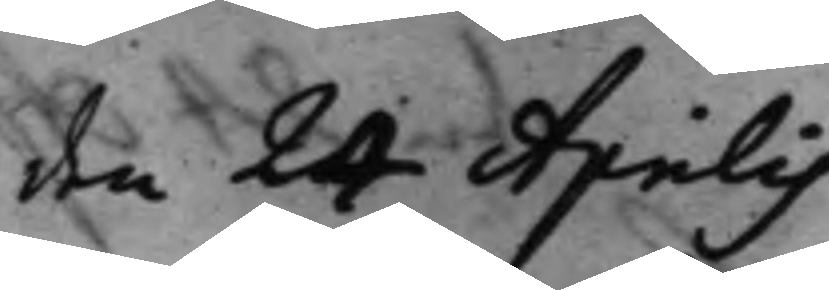den 24 Aprilis
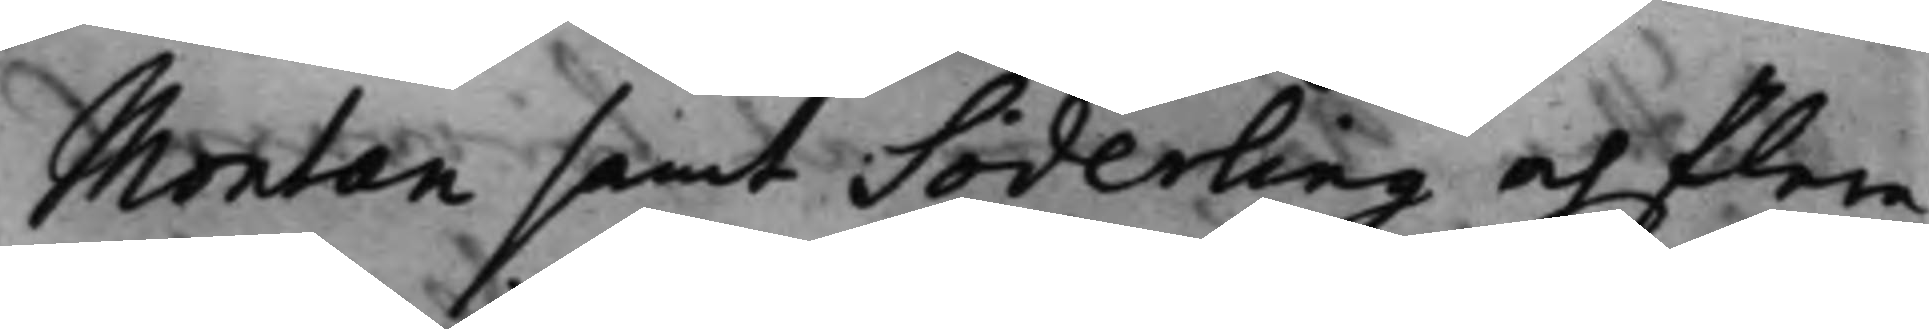Montan samt Söderling och flera
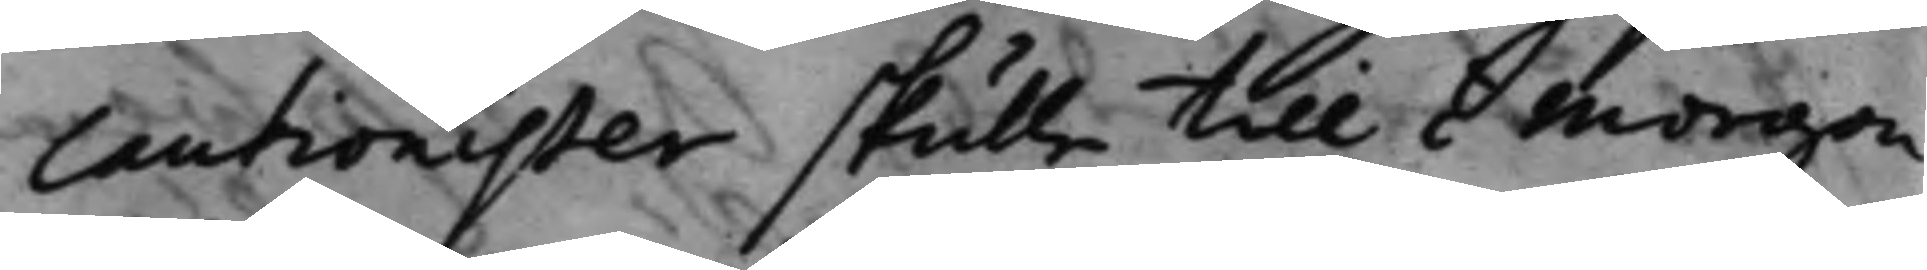cautionister skulle till i morgon
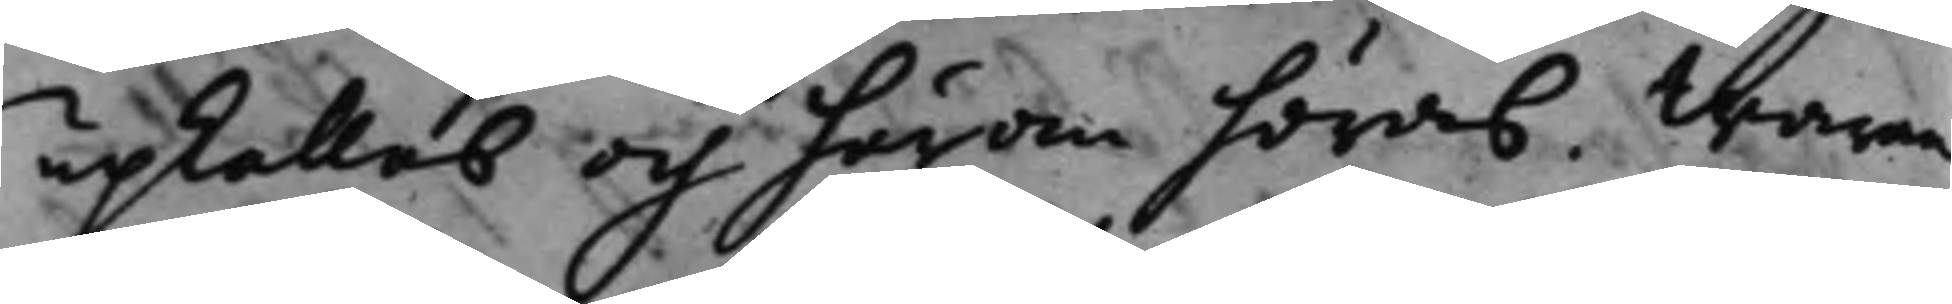upkallas och härom höras, waran¬
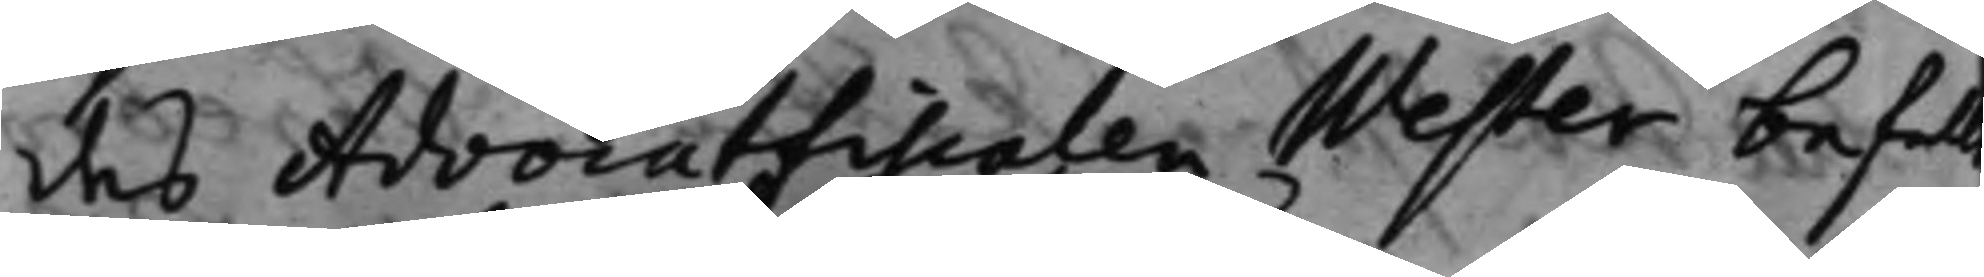des Advocatfiscalen Wester befall
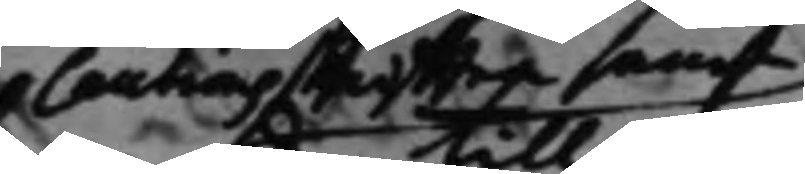cautionsskrifften samt
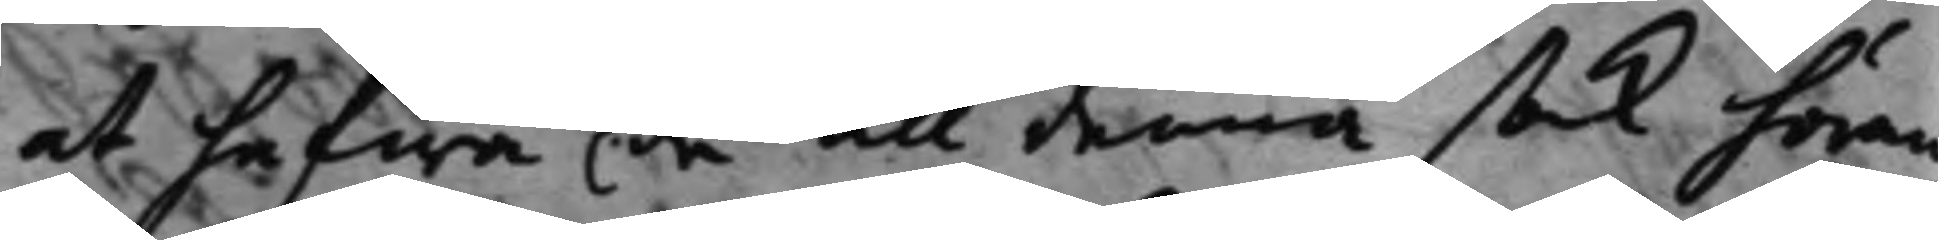at hafwa de till denna sak höran¬
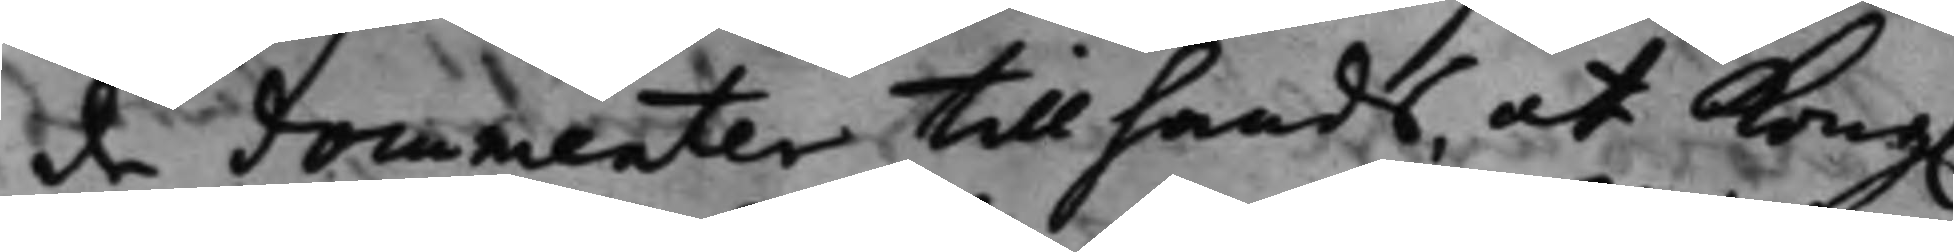de documenter tillhands, at Kong. 
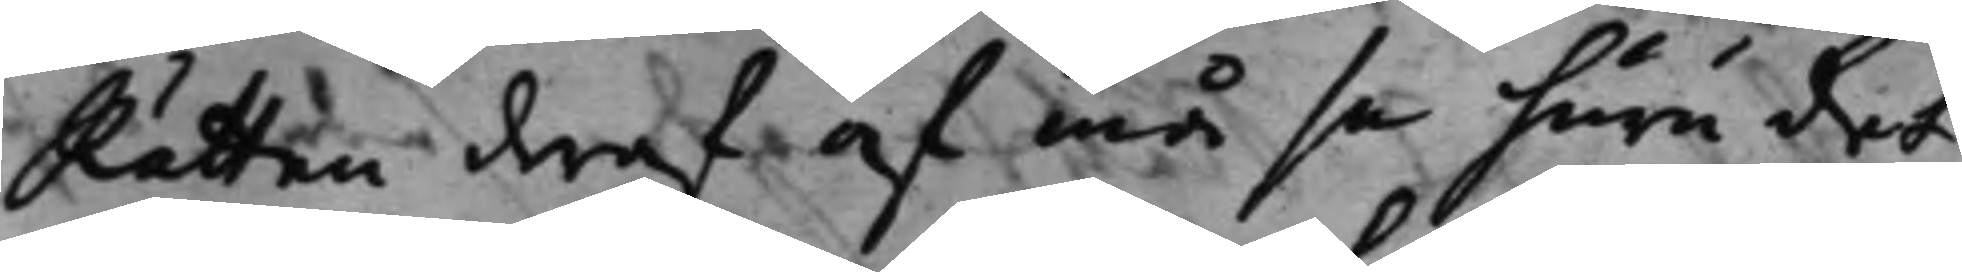Rätten deraf af må se huru det
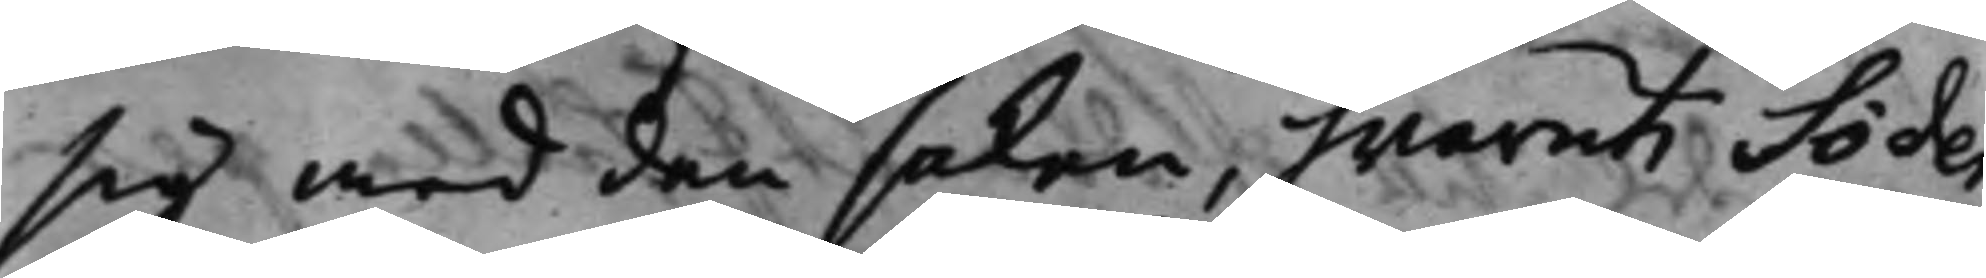sig med den saken, hwaruti Söder¬
